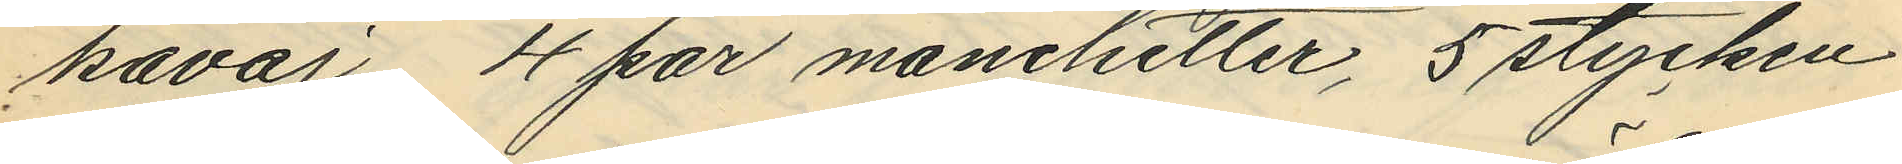kavaj, 4 par manchetter, 5 stycken
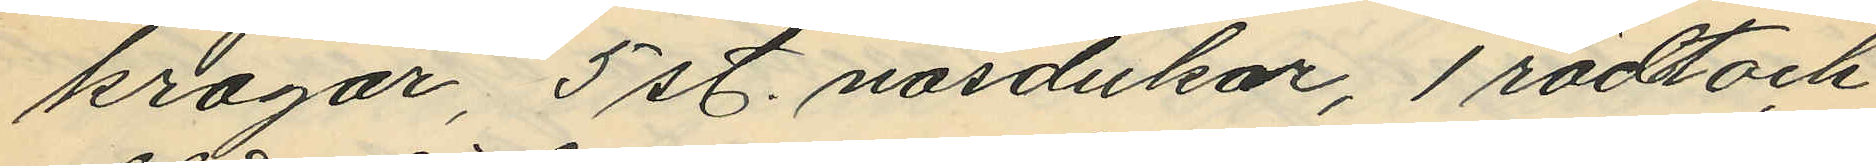kragar, 5 st. näsdukar, 1 rödt och
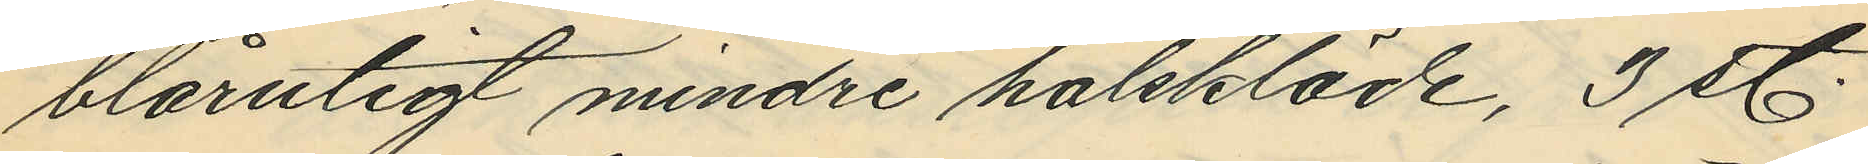blårutigt mindre halskläde, 3 st.
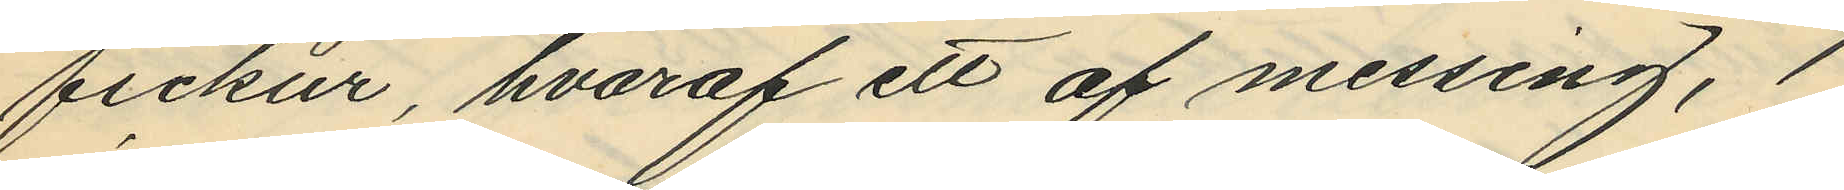fickur, hvaraf ett af messing, 1
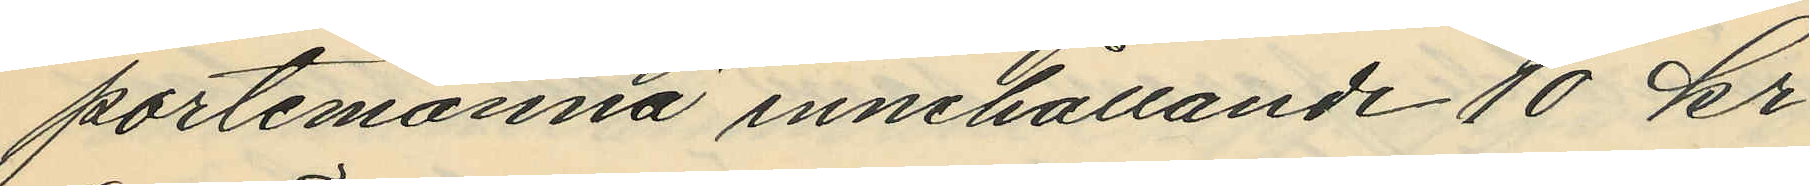portemonnä innehållande 10 kr
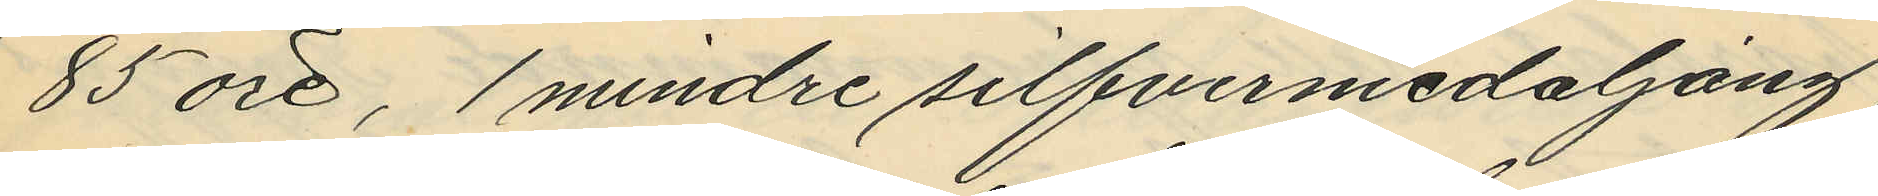85 öre, 1 mindre silfvermedaljång,
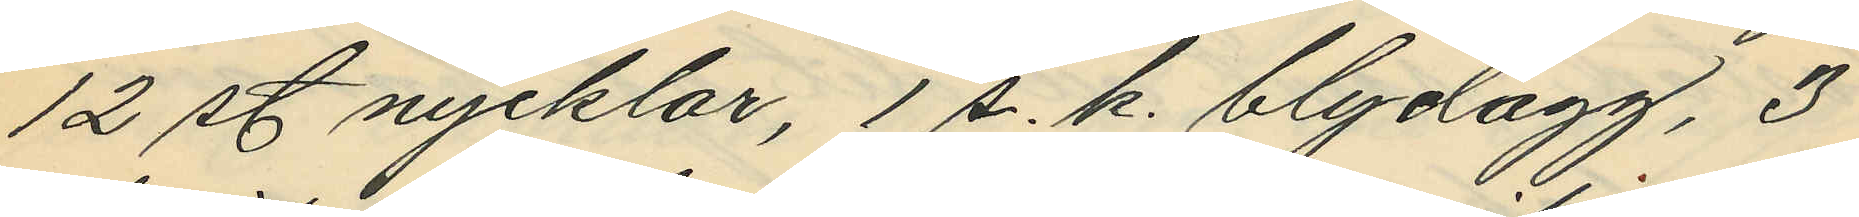12 st nycklar, 1 s. k. blydagg, 3
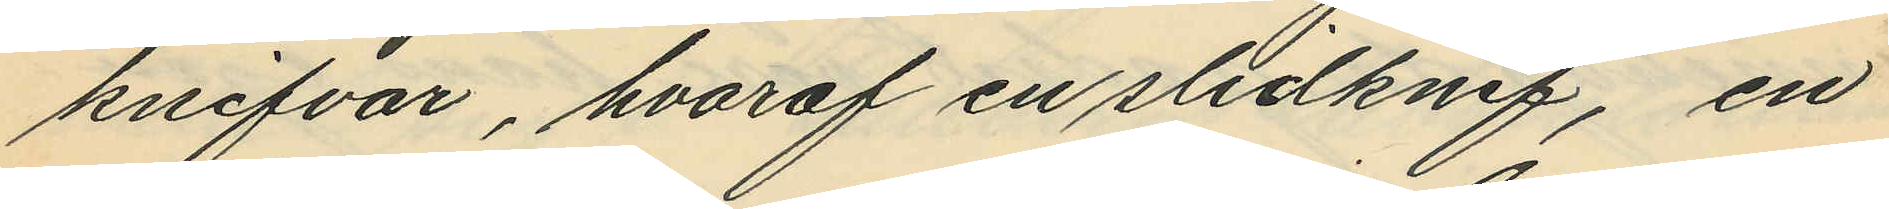knifvar, hvaraf en slidknif, en
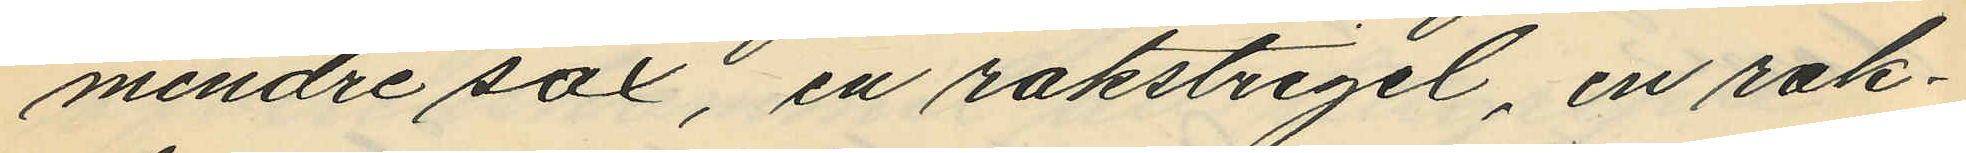mindre sax, en rakstrigel, en rak¬
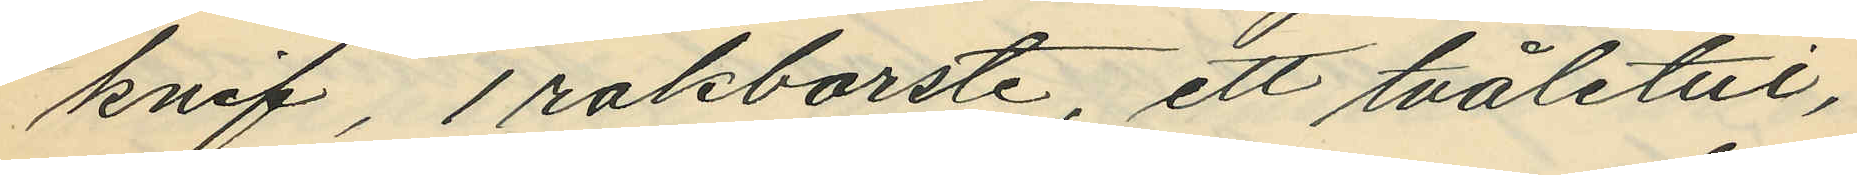knif, 1 rakborste, ett tvåletui,
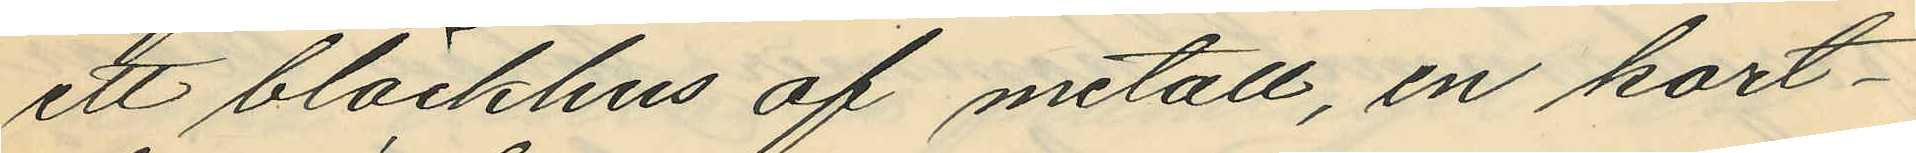ett bläckhus af metall, en kort¬
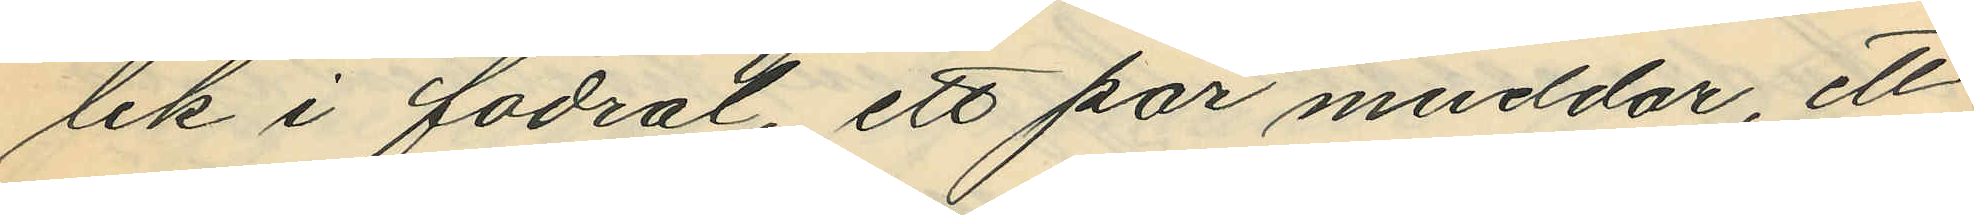lek i fodral, ett par muddar, ett
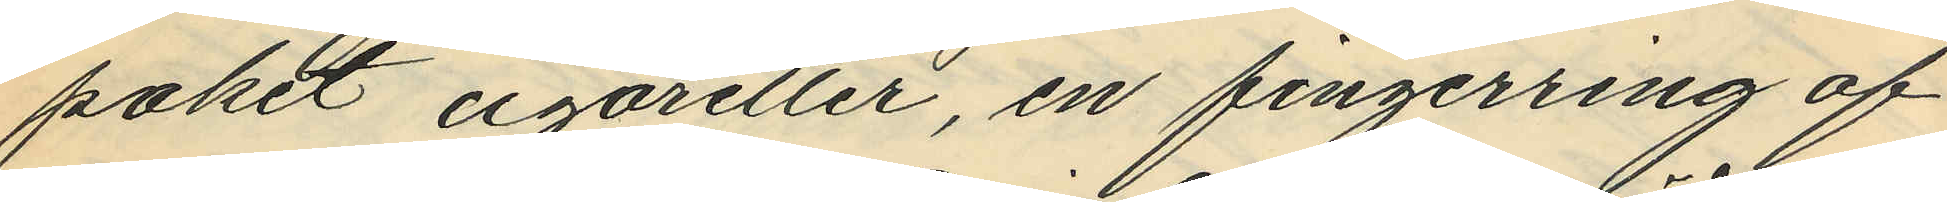paket cigaretter, en fingerring af
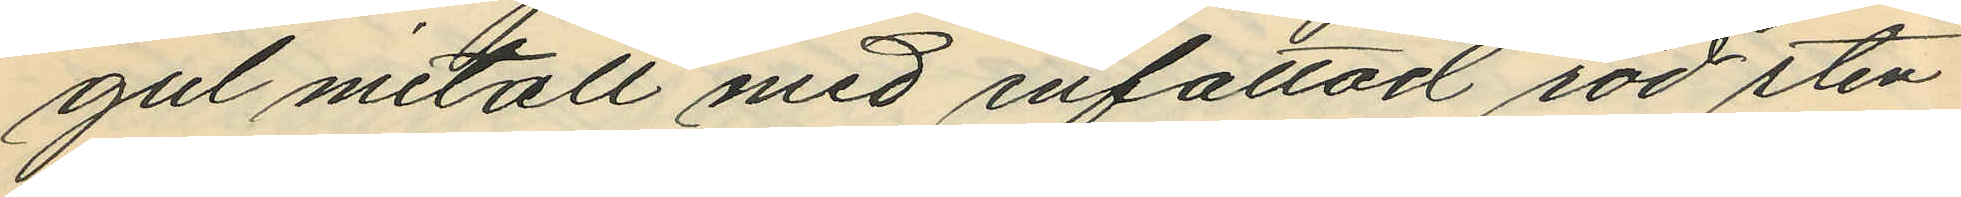gul metall med infattad röd sten
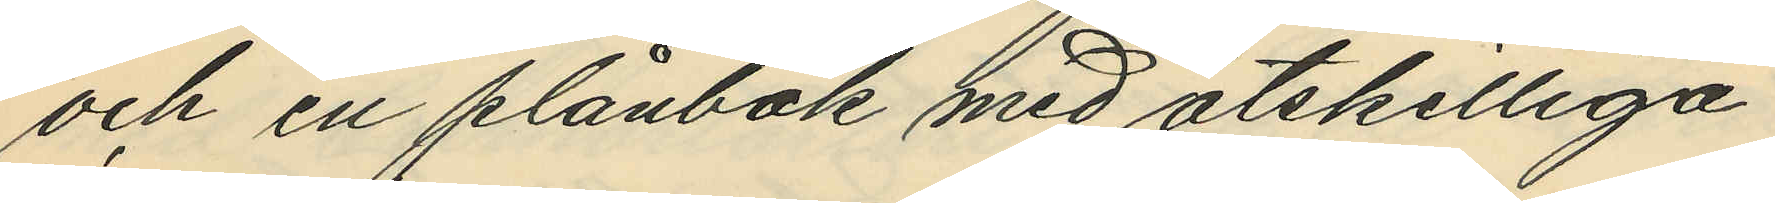och en plånbok med åtskilliga
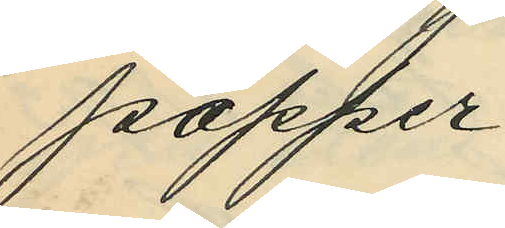papper
